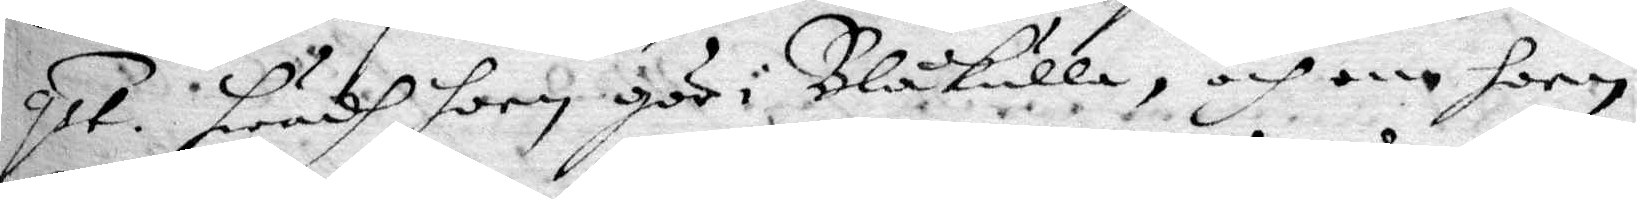qst. Hwadh hon gör i Blåkulla, och om hon 
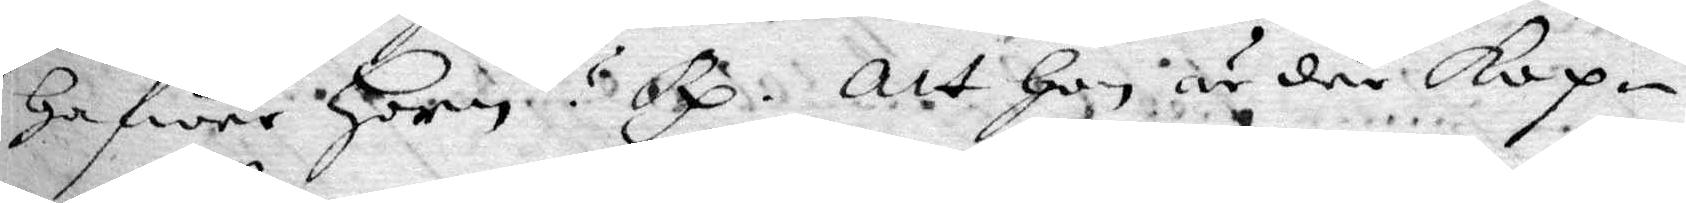hafwer Horn? Rp. Att hon är där kop¬ 
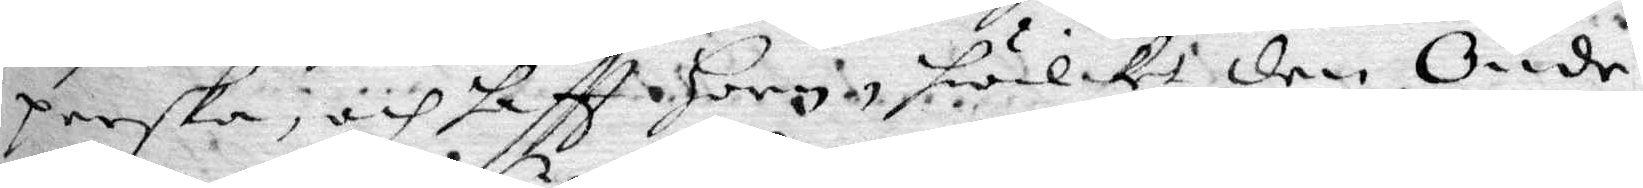perska, och haftt horn, hwilket den Onde,
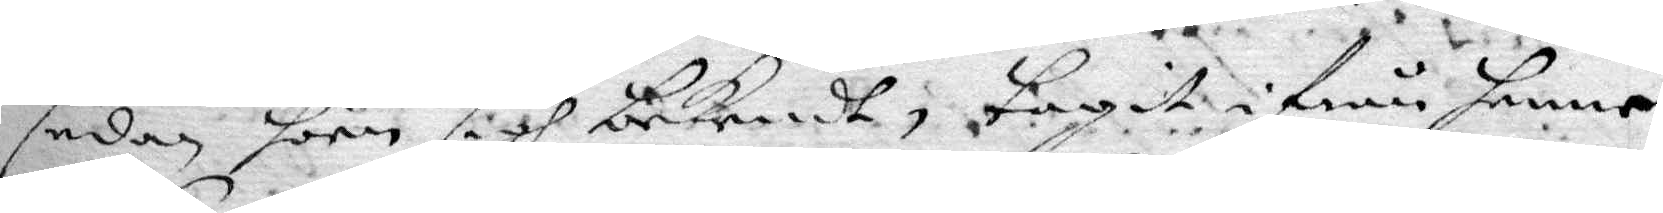sedan hon sigh bekendt, tagit ifrån henne
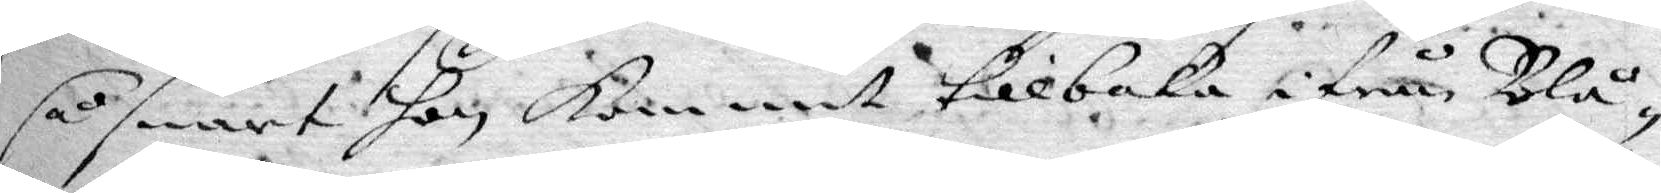så snart hon kommit tillbaka ifrån Blå¬
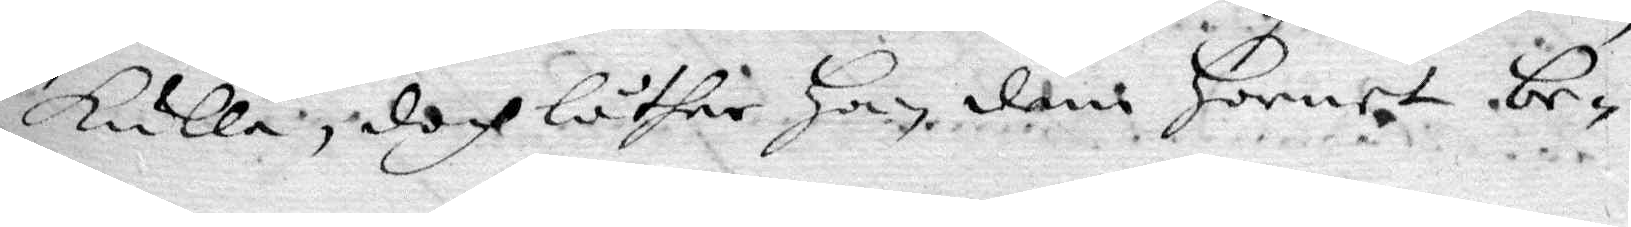kulla, doch låther Han dem hornet be¬
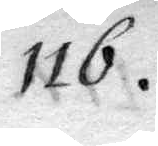116.
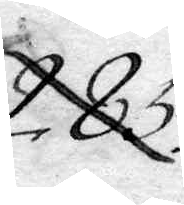285.
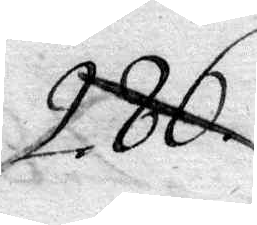286.
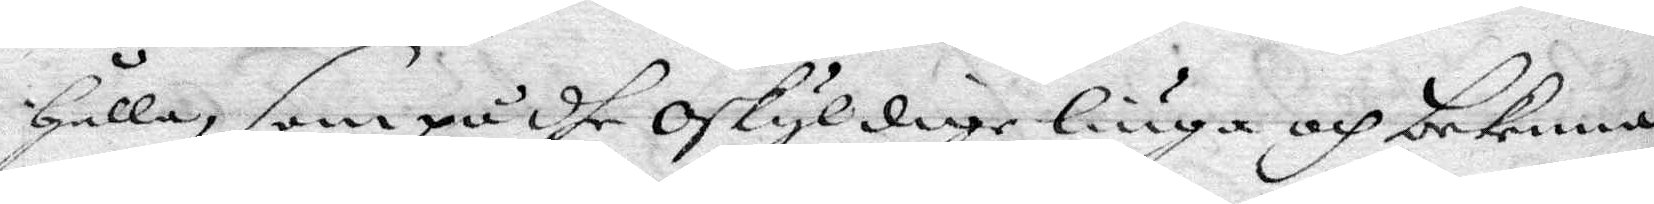hålla, som på dhe oskyldige liuga och bekenna, 
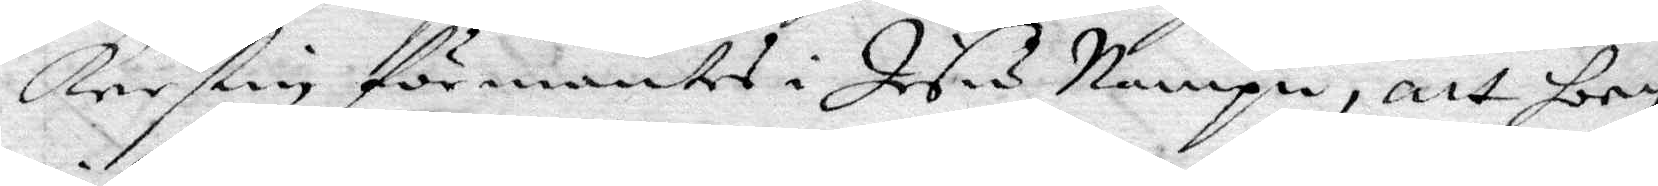Kerstin förmantes i Jesu Nampn, att hon
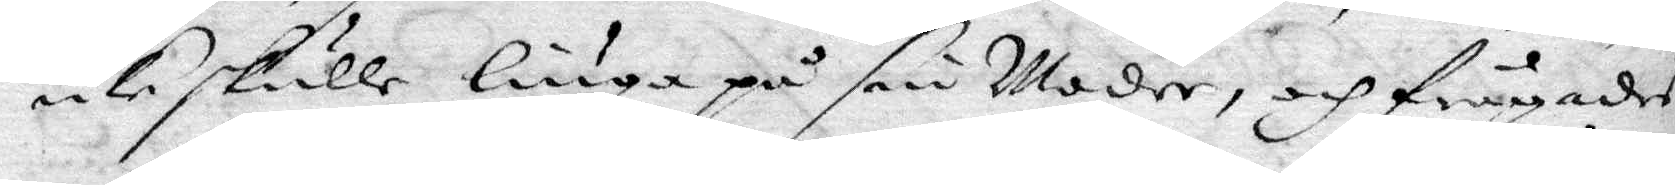icke skulle liuga på sin Moder, och frågades
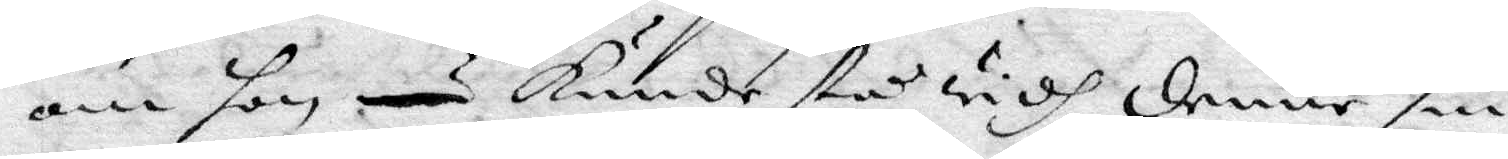om hon kunde stå widh denne sin 
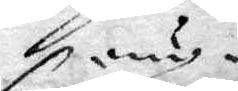åny
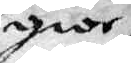gior¬
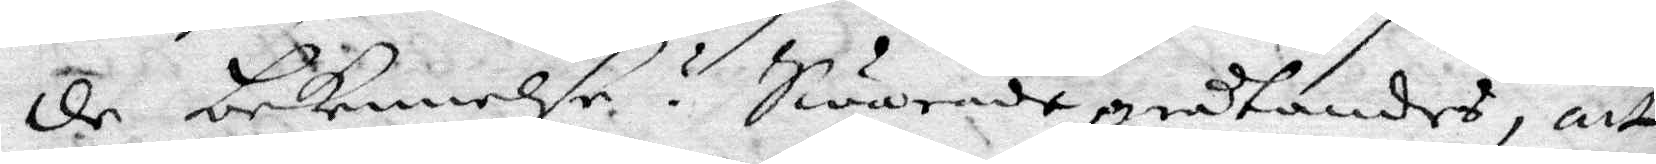de bekennelse? Swarade gråtandes, att
